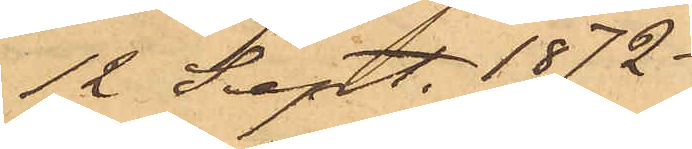12 Sept. 1872.
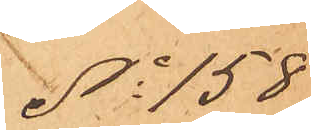No 158
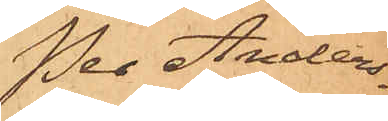Per Anders¬
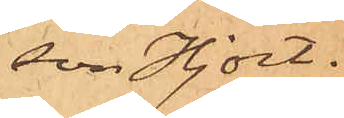son Hjort.
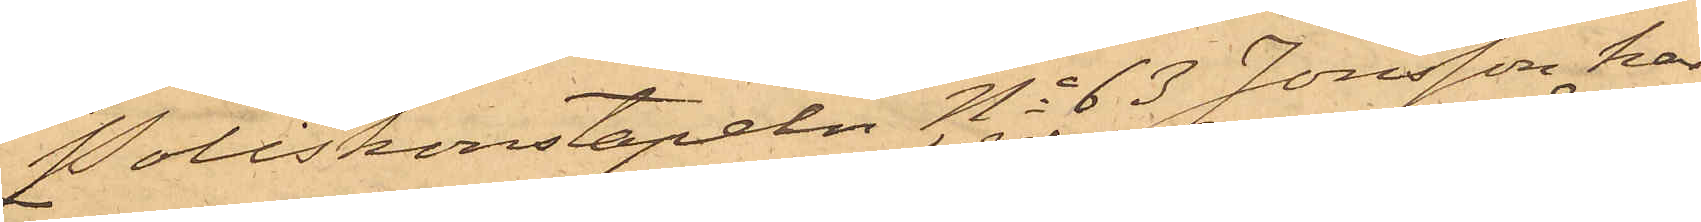Poliskonstapeln No 63 Jonsson har
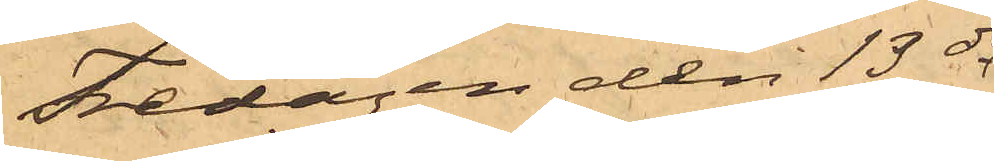Fredagen den 13 ds
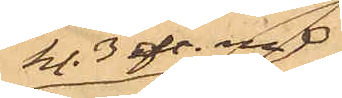kl. 3 eft. m
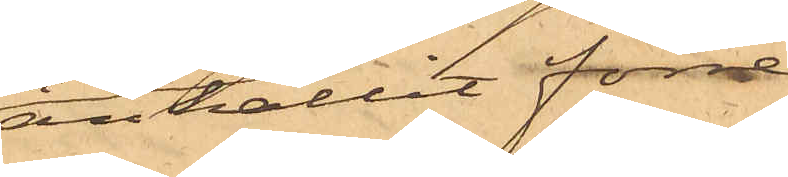anhållit förre
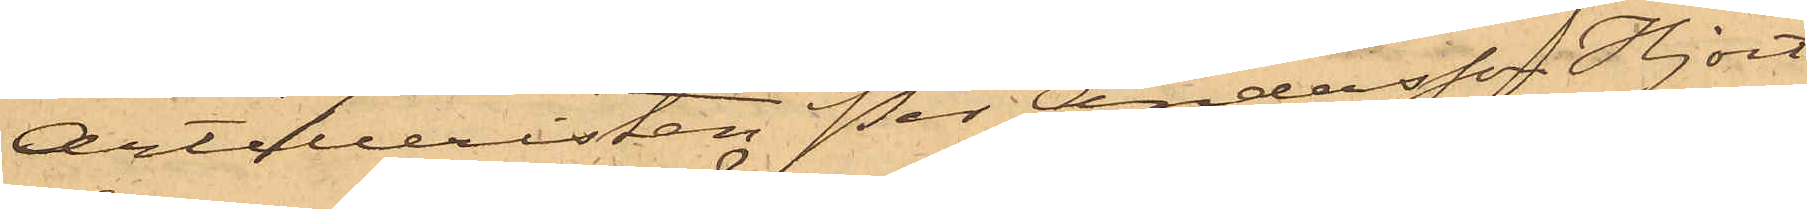Artilleristen Per Andersson Hjort
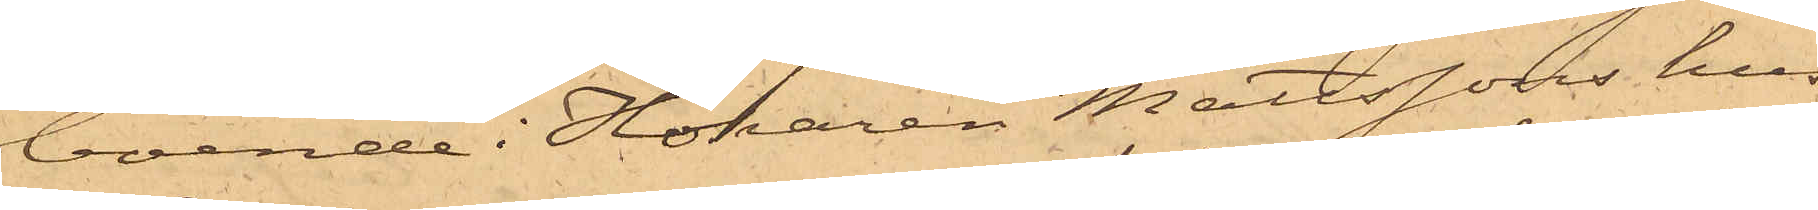boende i Hökaren Mattssons hus
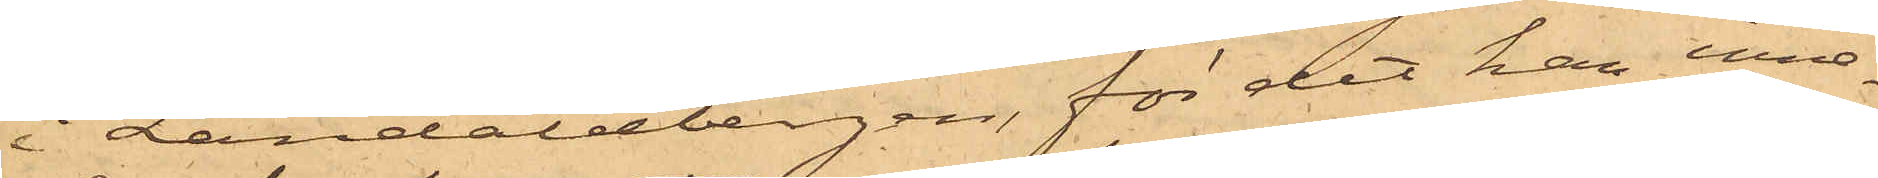i Landalabergen, för det han inne¬
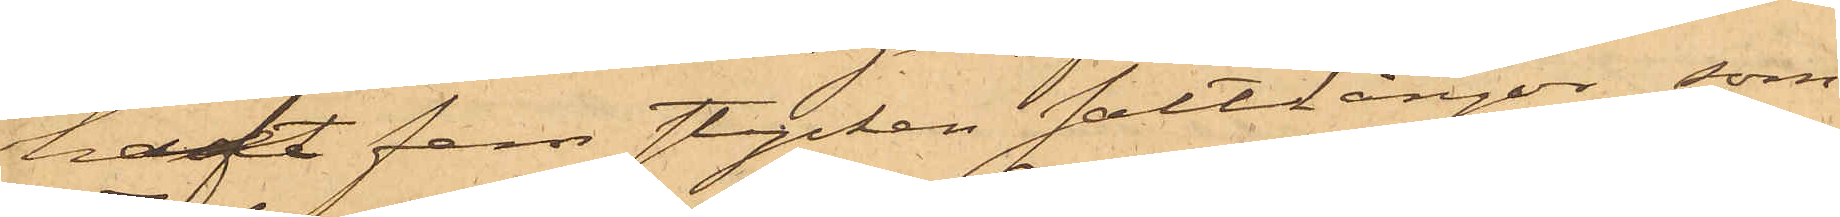haft fem stycken saltlångor, som
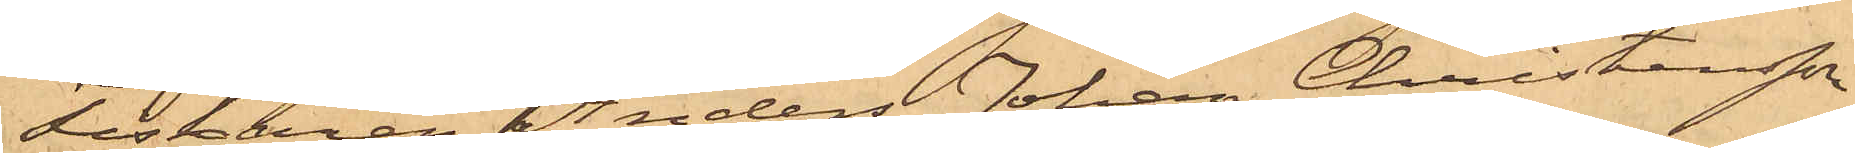Fiskaren Anders Johan Christensson
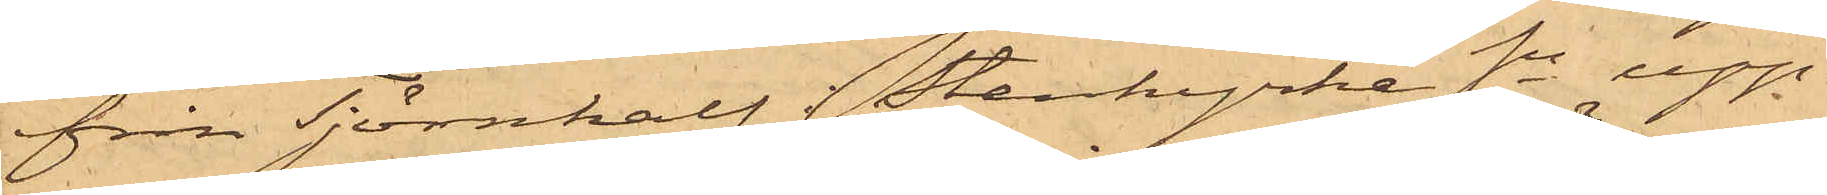från Tjörnkalf i Stenkyrke Sn upp¬
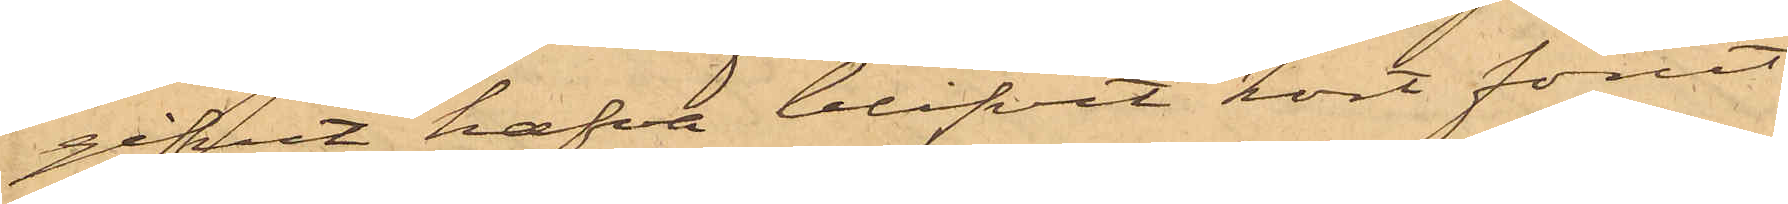gifvit hafva blifvit kort förut
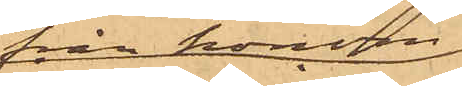från honom
